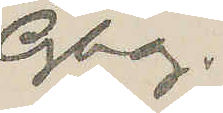Gbg.
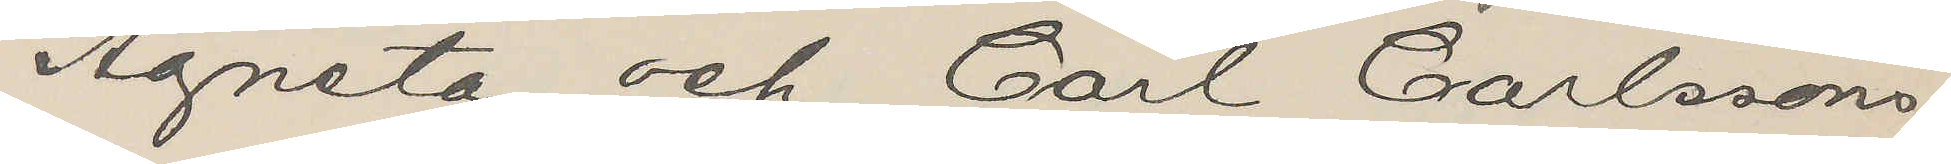Agneta och Carl Carlssons
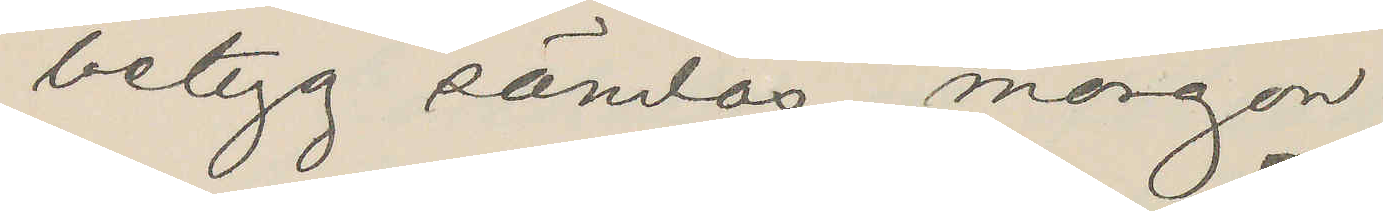betyg sändas morgon
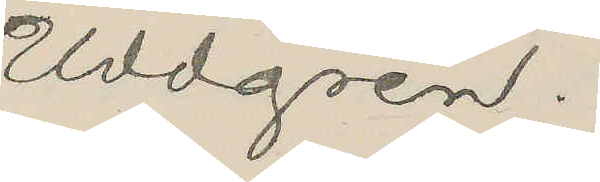Uddgren.
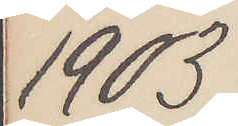1903
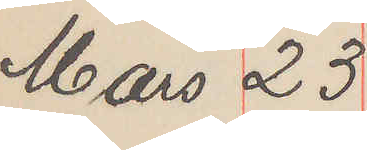Mars 23
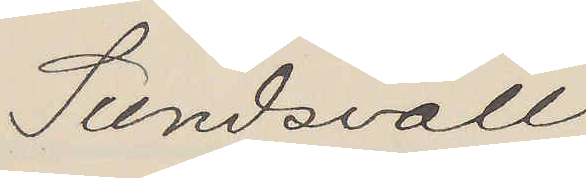Sundsvall
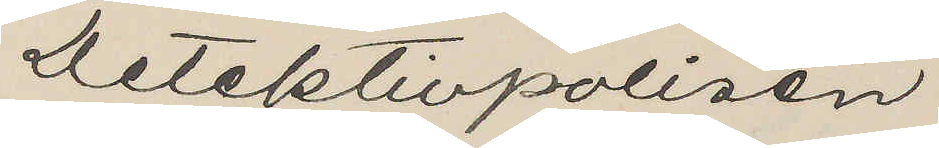Detektivpolisen
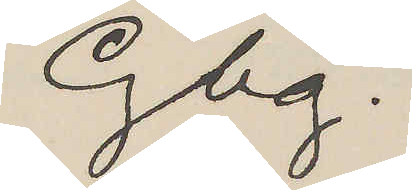Gbg.
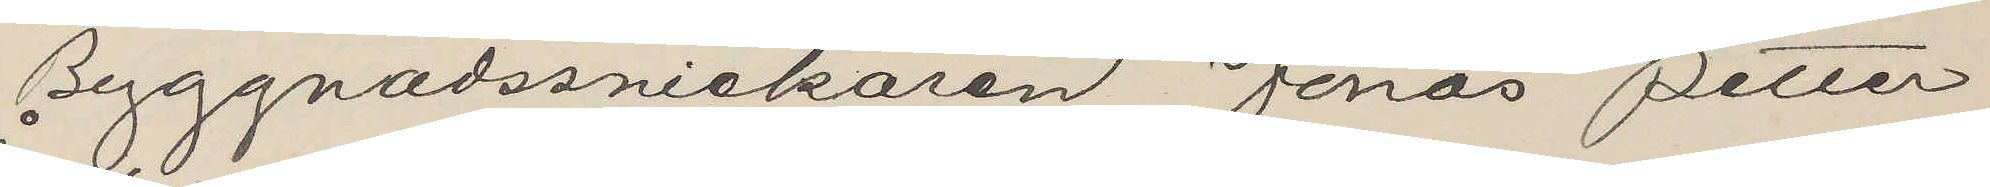Byggnadssnickaren Jonas Petter
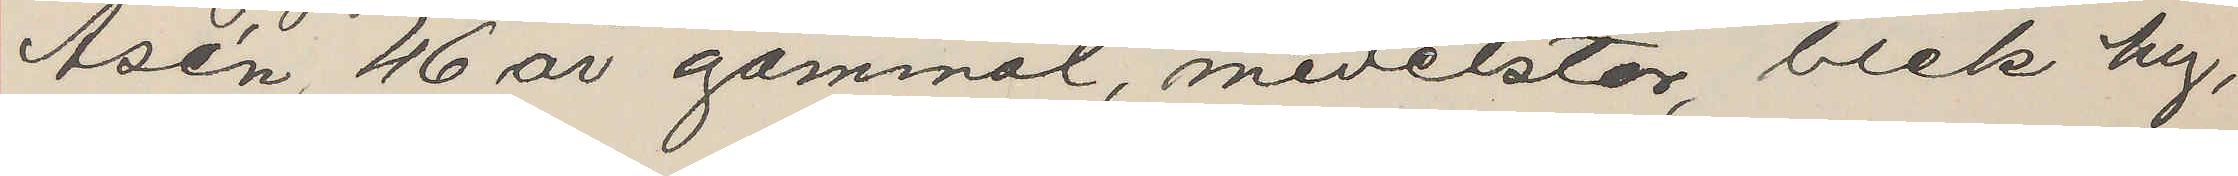Åsén, 46 år gammal, medelstor, blek hy,
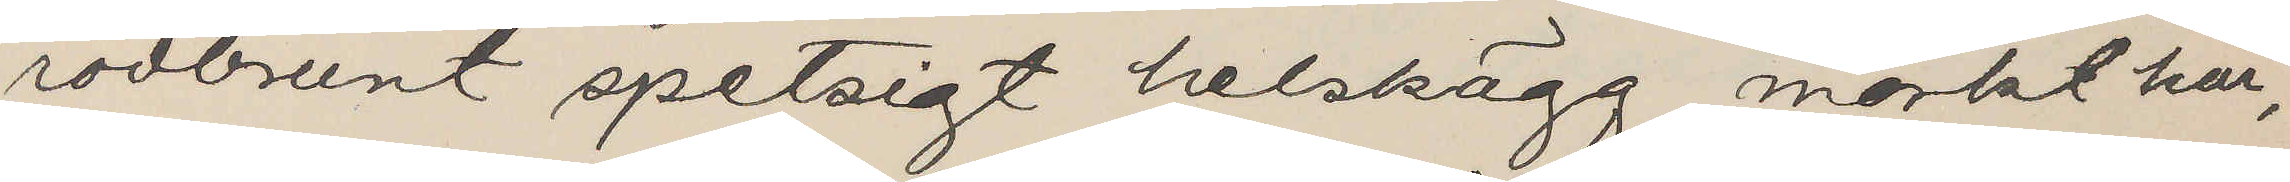rödbrunt spetsigt helskägg, mörkt hår,
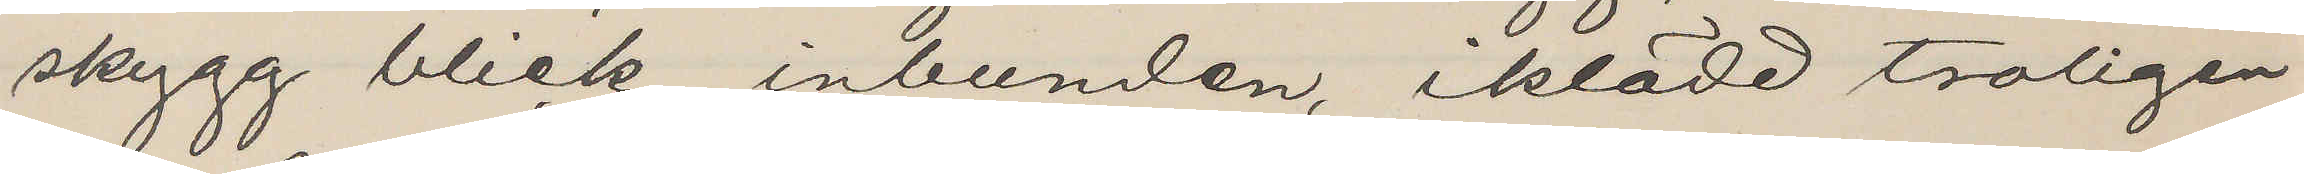skygg blick, inbunden, iklädd troligen
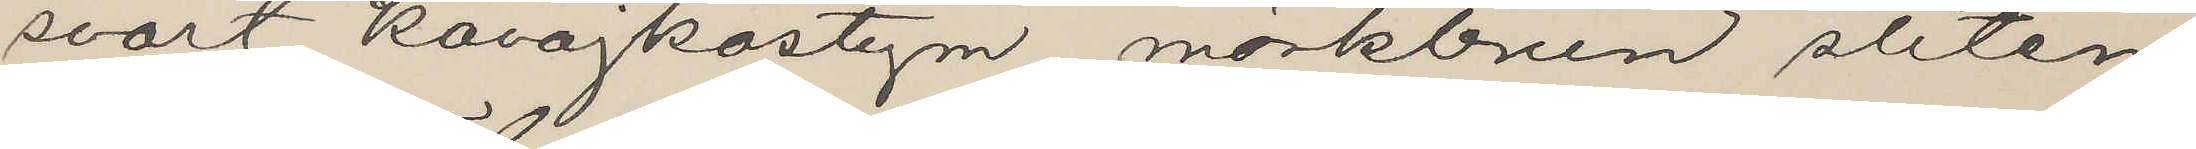svart kavajkostym, mörkbrun sliten
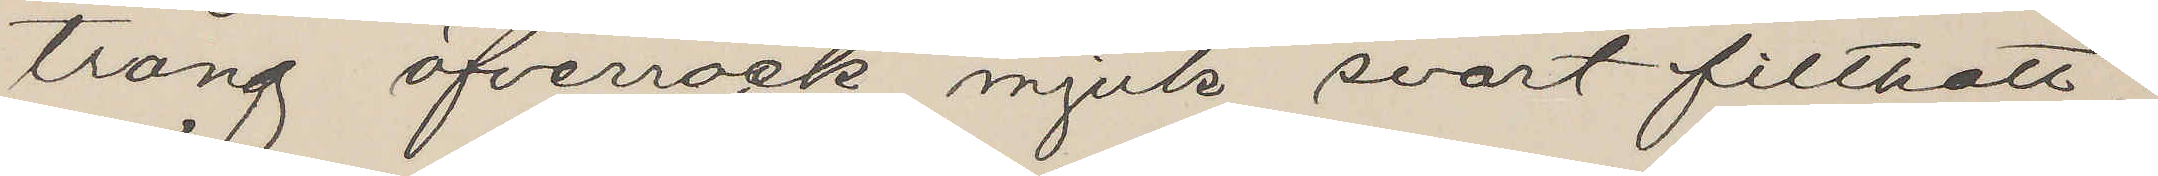trång öfverrock, mjuk svart filthatt;
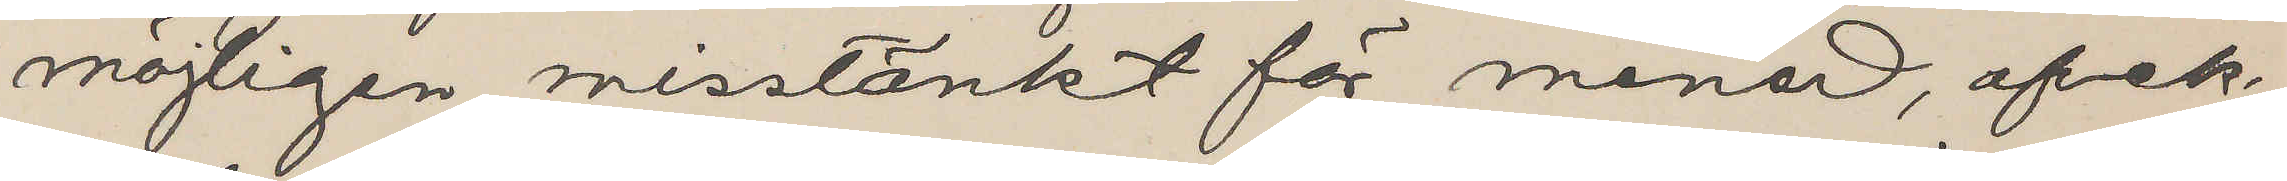möjligen misstänkt för mened, afvek
